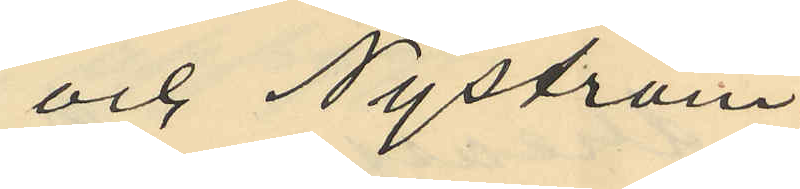och Nyström
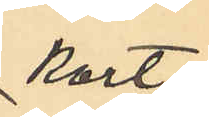kort
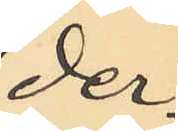der¬
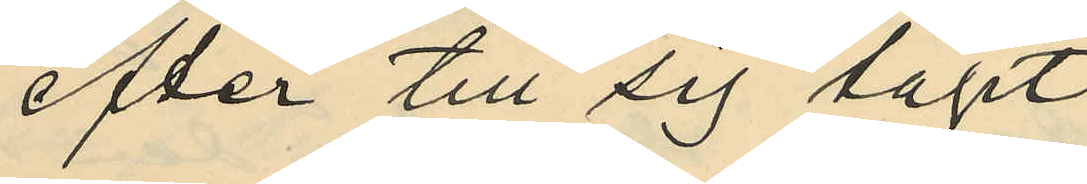efter till sig tagit
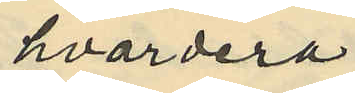hvardera
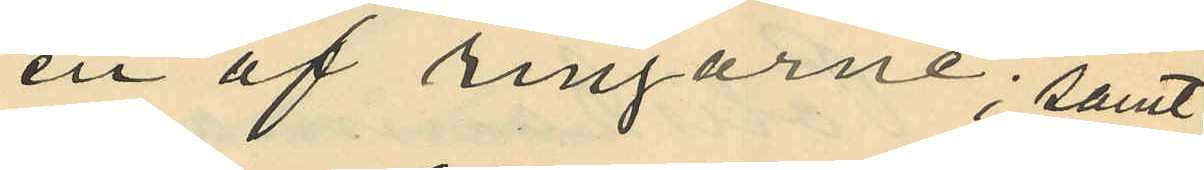en af ringarne; samt
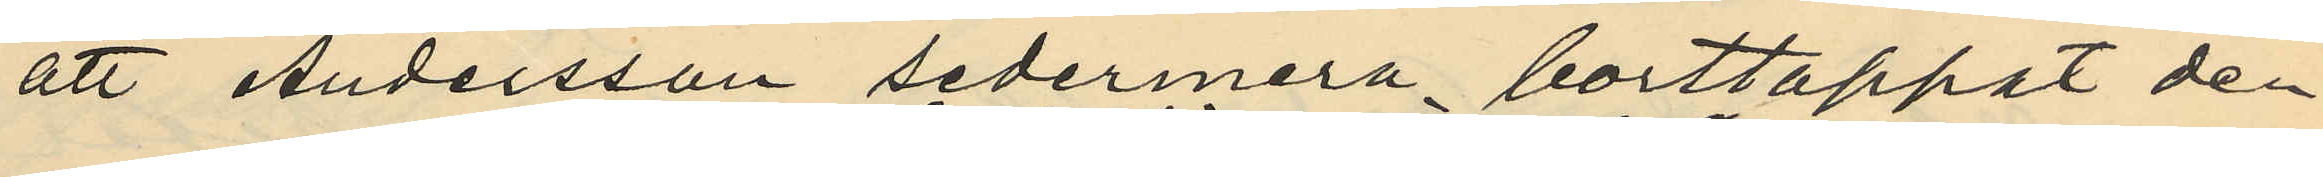att Andersson sedermera borttappat den
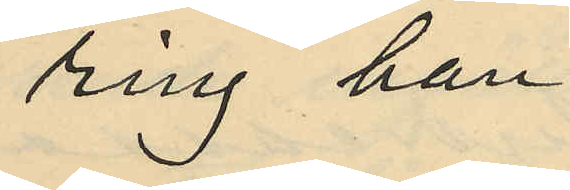ring han
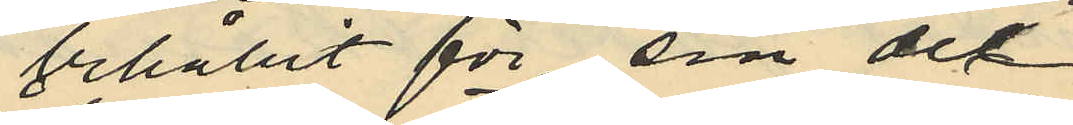behållit för sin del.
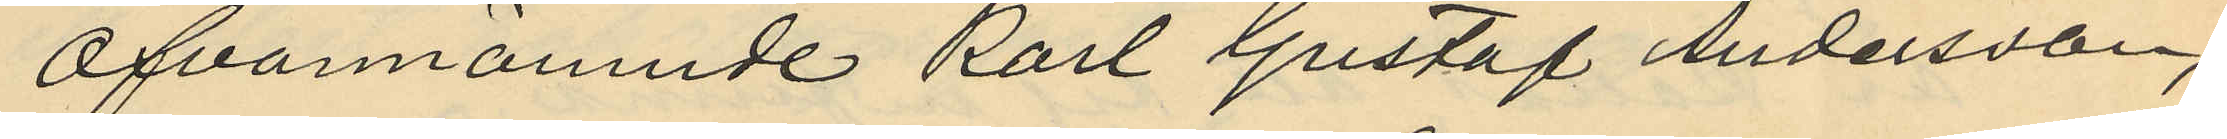Ofvannämnde Karl Gustaf Andersson,
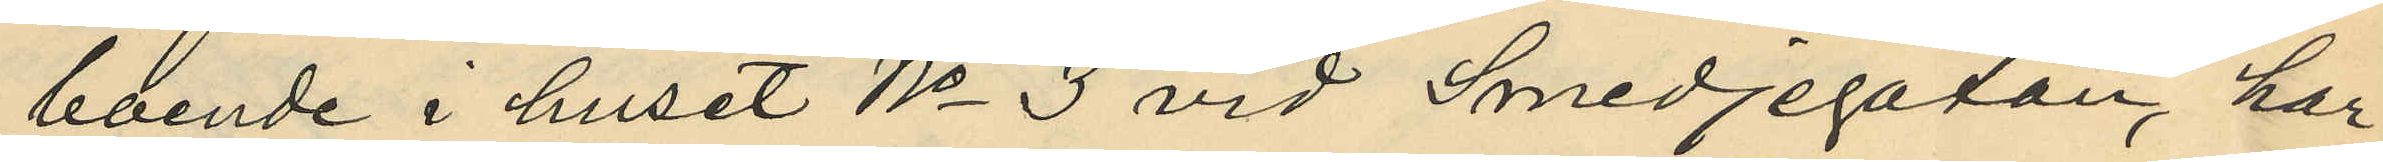boende i huset No 3 vid Smedjegatan, har
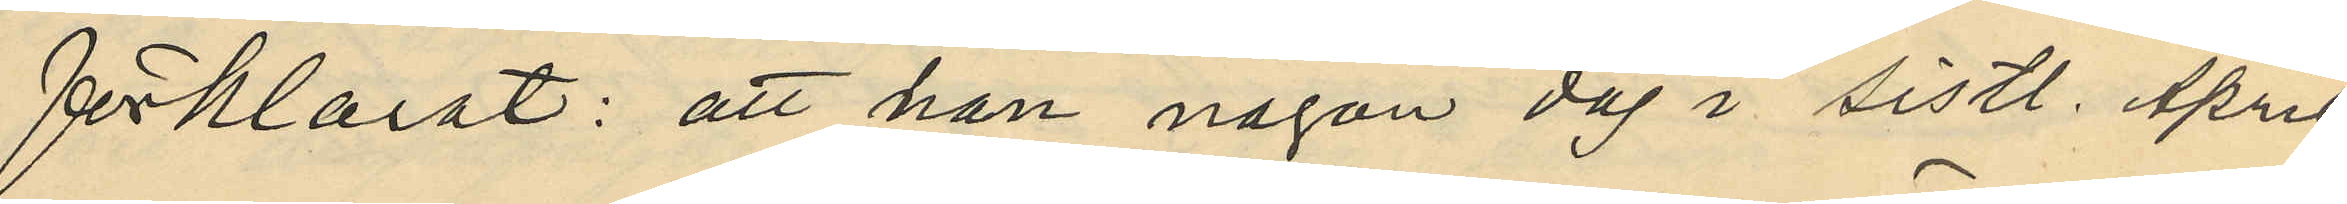förklarat: att han någon dag i sistl. April
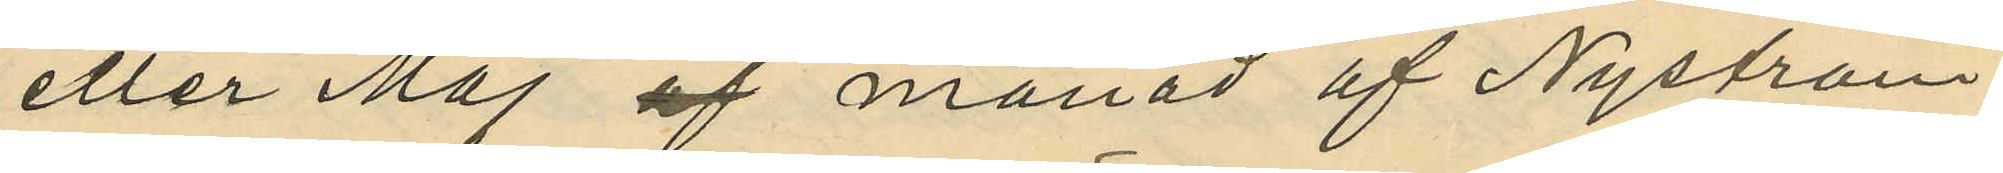eller Maj af månad af Nyström
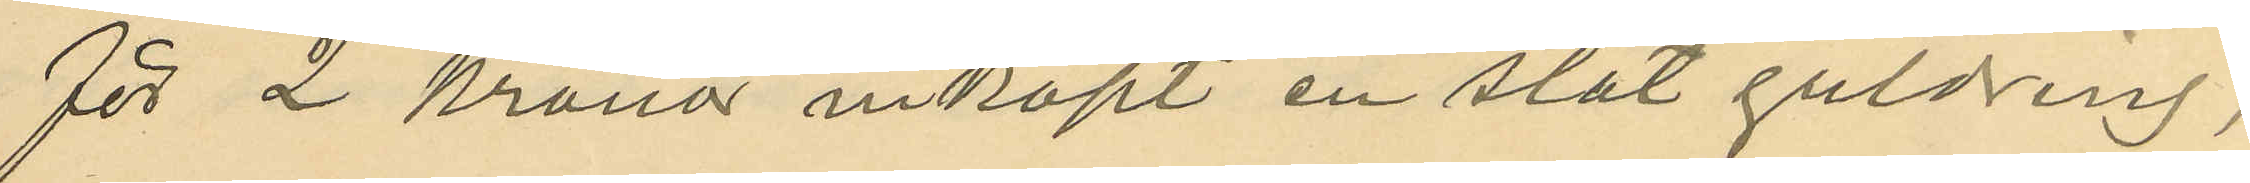för 2 Kronor inköpt en slät guldring,
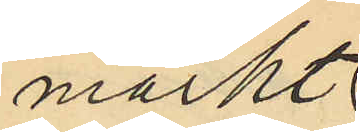märkt
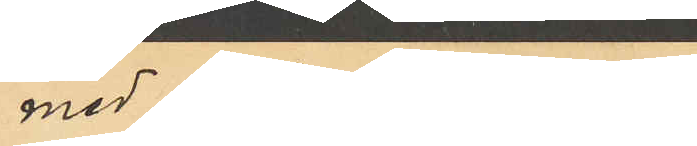med bokstäfverna
